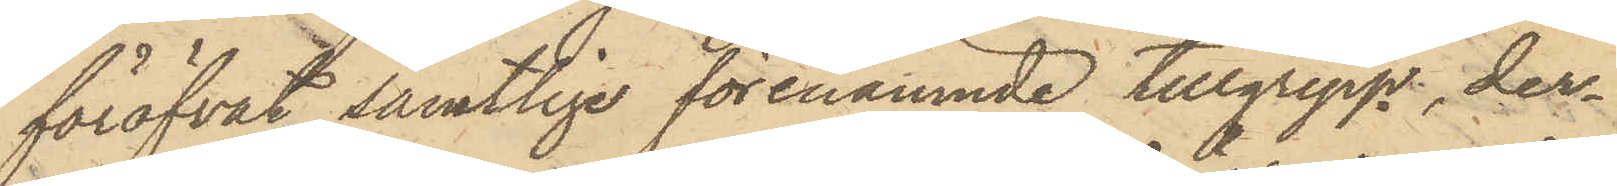föröfvat samtlige förenämnde tillgrepp, der¬
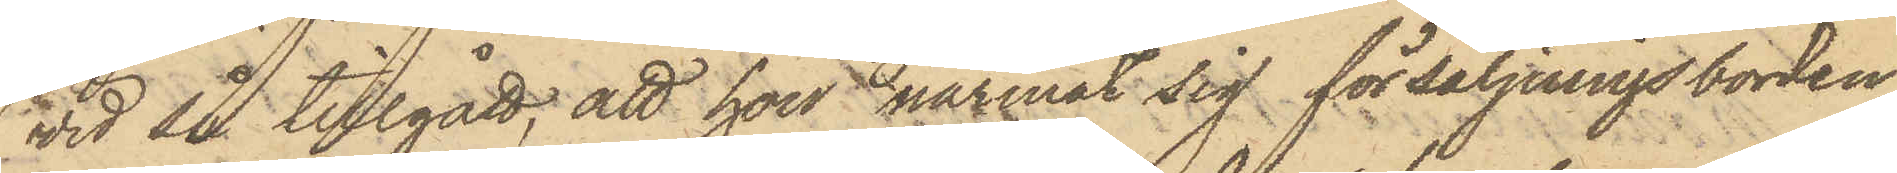vid så tillgått; att hon närmat sig försäljningsborden
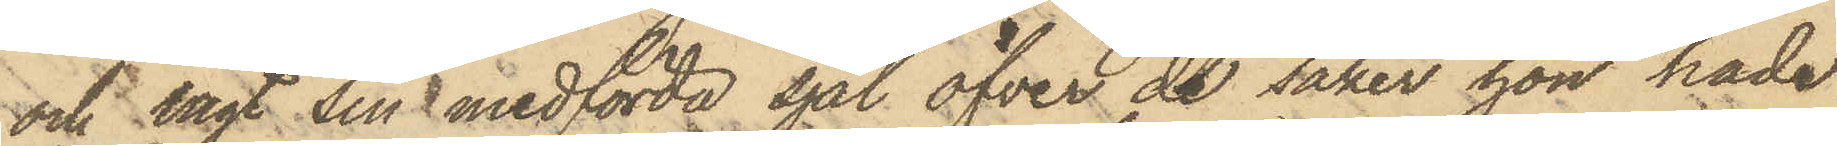och lagt sin medförda sjal öfver de saker hon hade
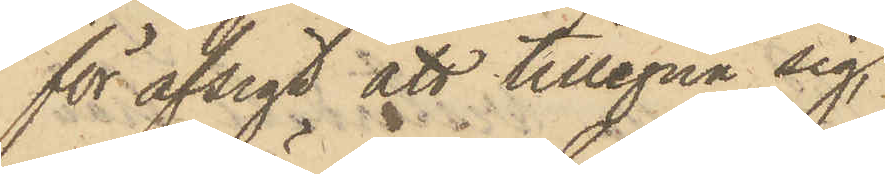för afsigt att tillegna sig,
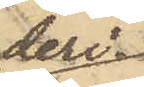deri¬
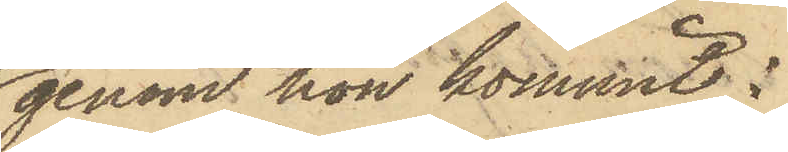genom hon kommit i
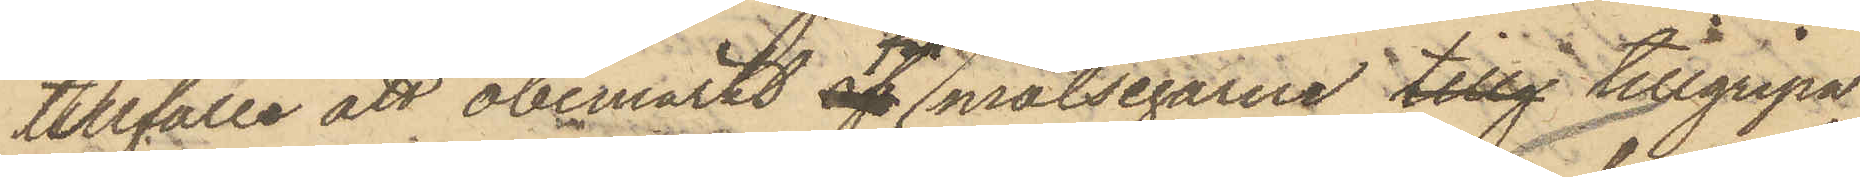tillfälle att obemärkt för målsegarne tillg tillgripa
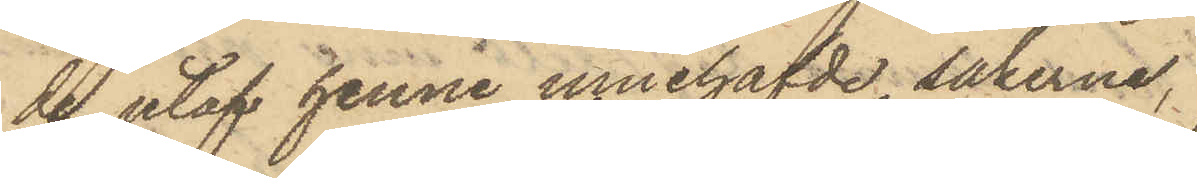de utaf henne innehafde sakerna,
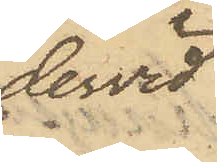dervid
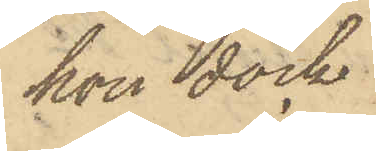hon dock
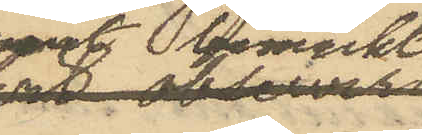varit bemärkt
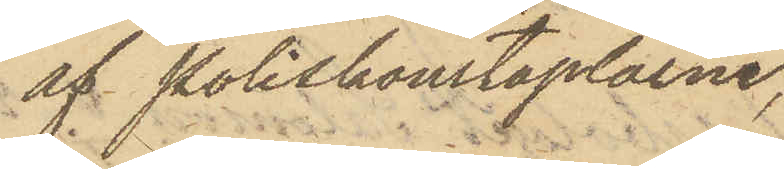af Poliskonstaplarne,
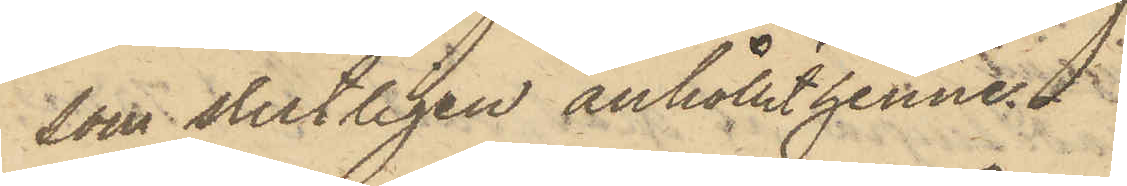som slutligen anhållit henne.
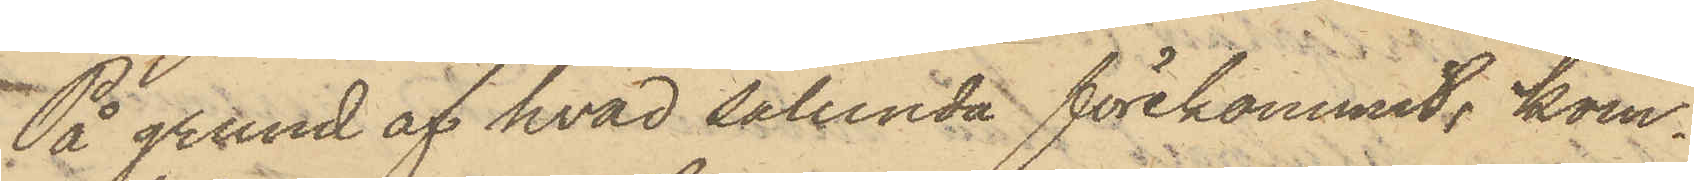På grund af hvad sålunda förekommit, kom¬
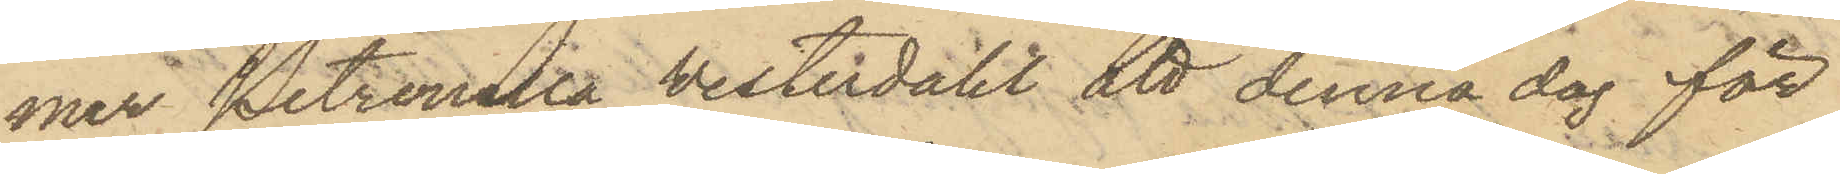mer Petronella Vesterdahl att denna dag för
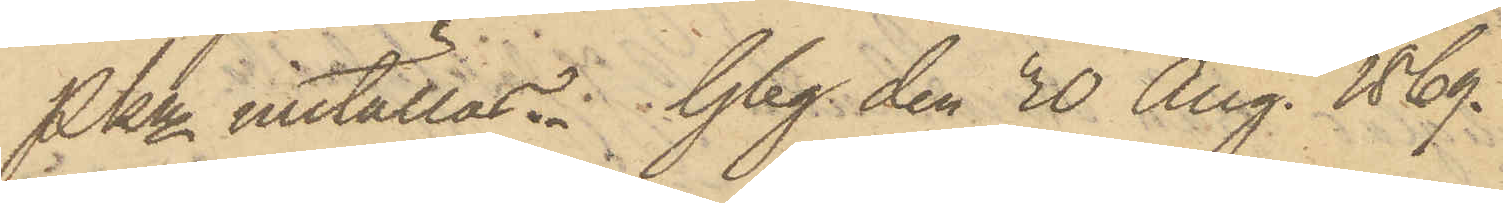PKn inställas. Gbg den 30 Aug. 1869.
